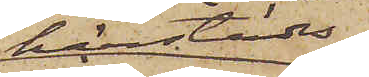härstädes
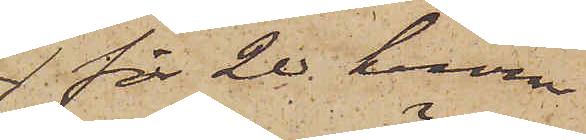för 20 kronor
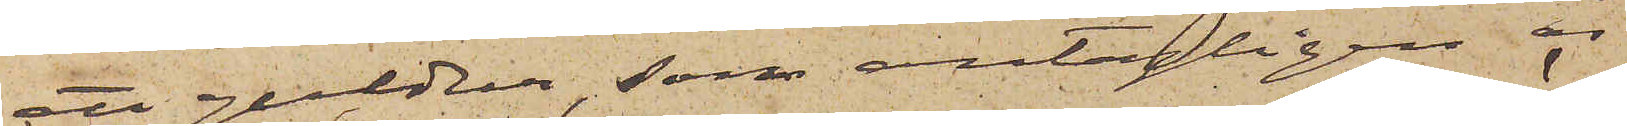ett guldur, som antagligen är
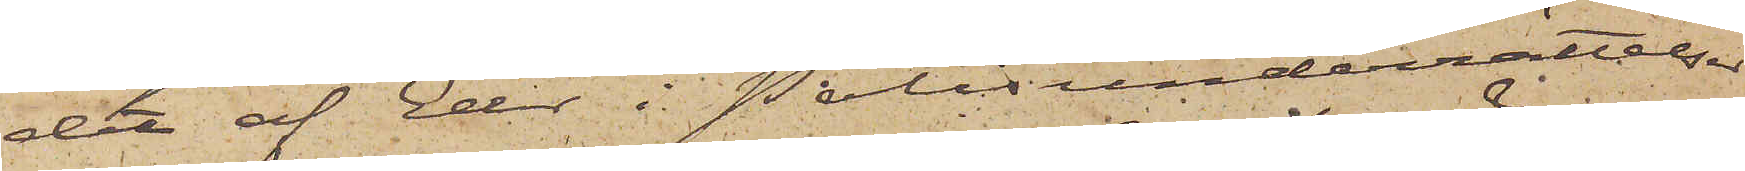det af Eder i Polisunderrättelser
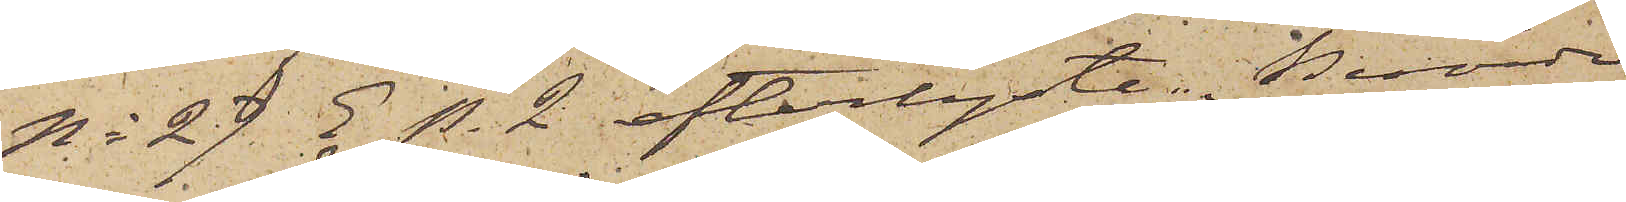No 29 E p. 2 efterlyste. Berörde
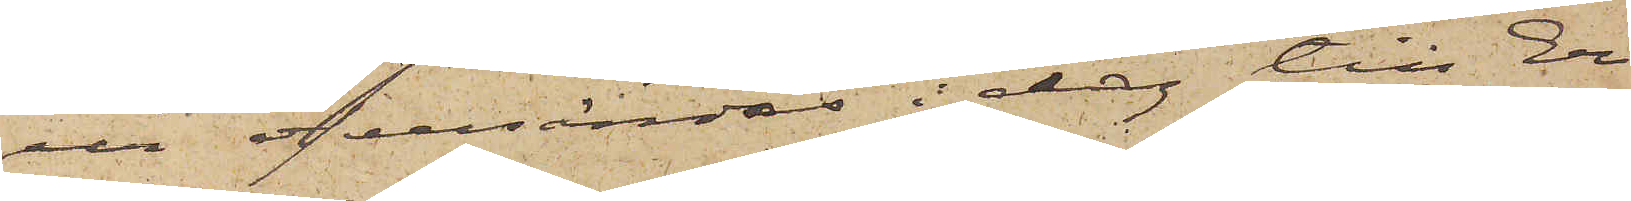ur öfversändas i dag till Er
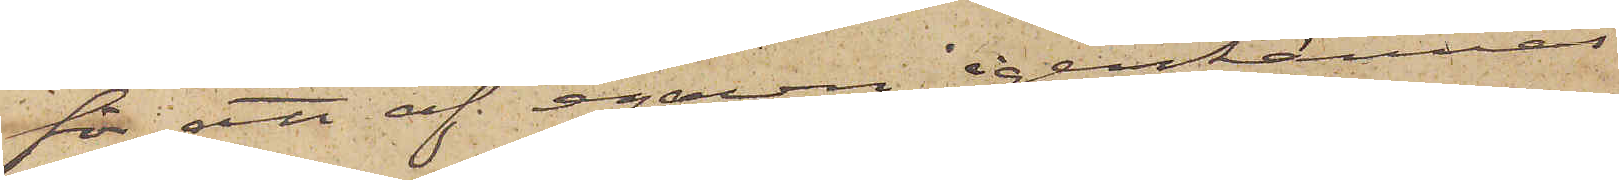för att af egaren igenkännas
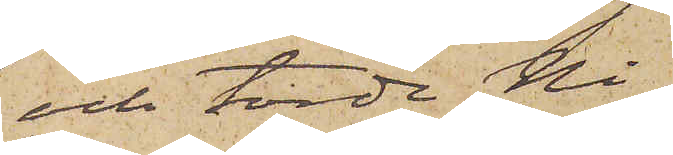och torde Ni
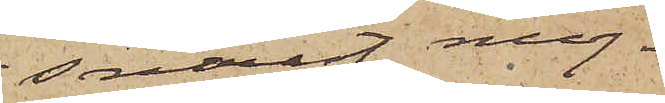snarast möj¬
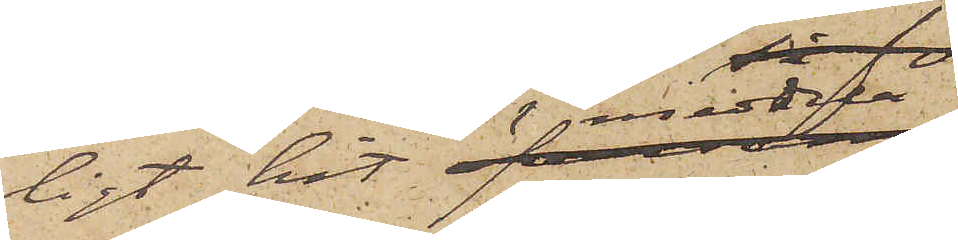ligt hit meddela
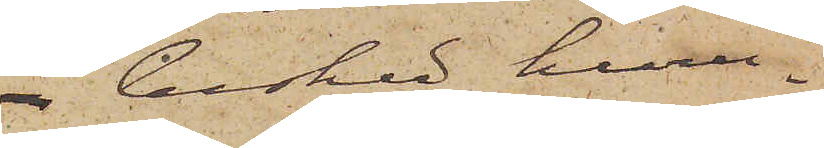besked huru¬
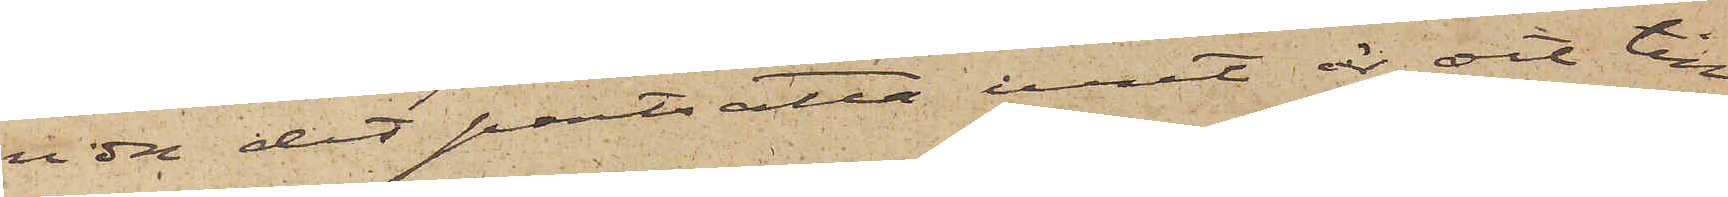vida det pantsatta uret är det till¬
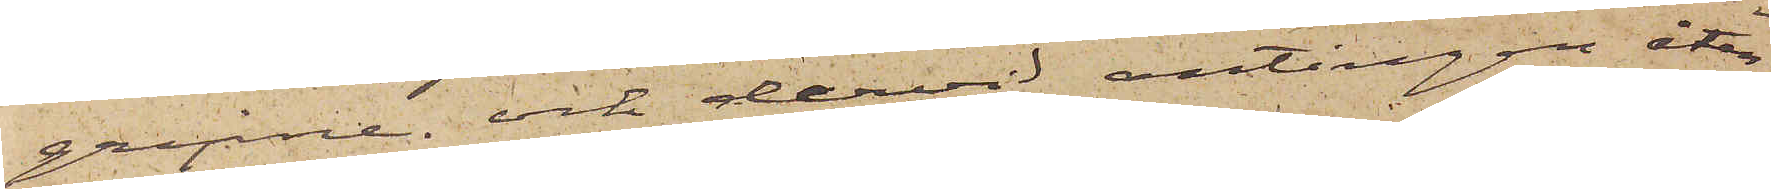gripne, och dervid antingen åter¬
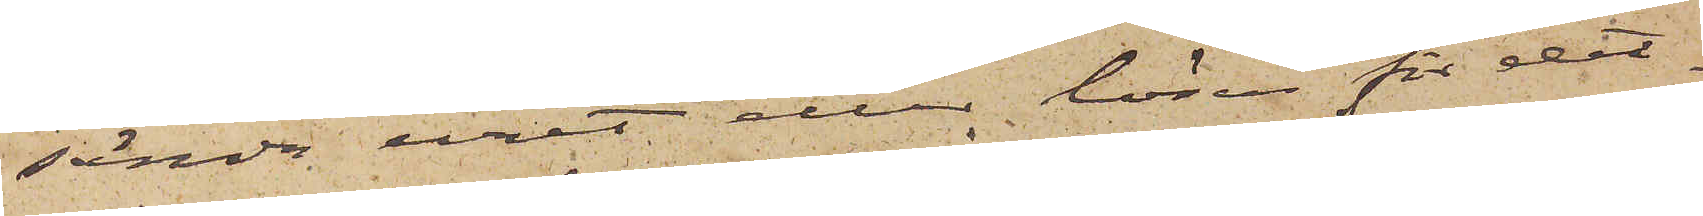sända uret eller lösen för det¬
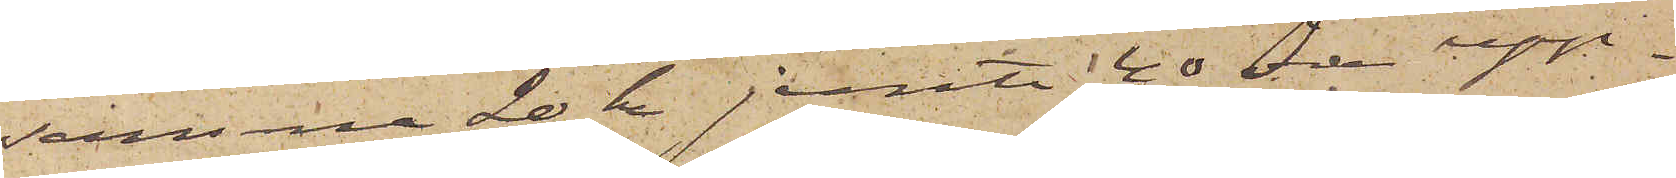samma 20 kr jemte 40 öre upp¬
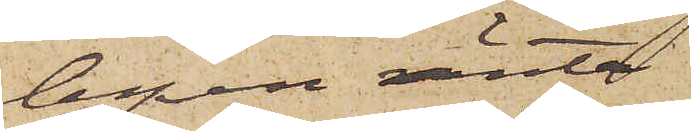lupen ränta
